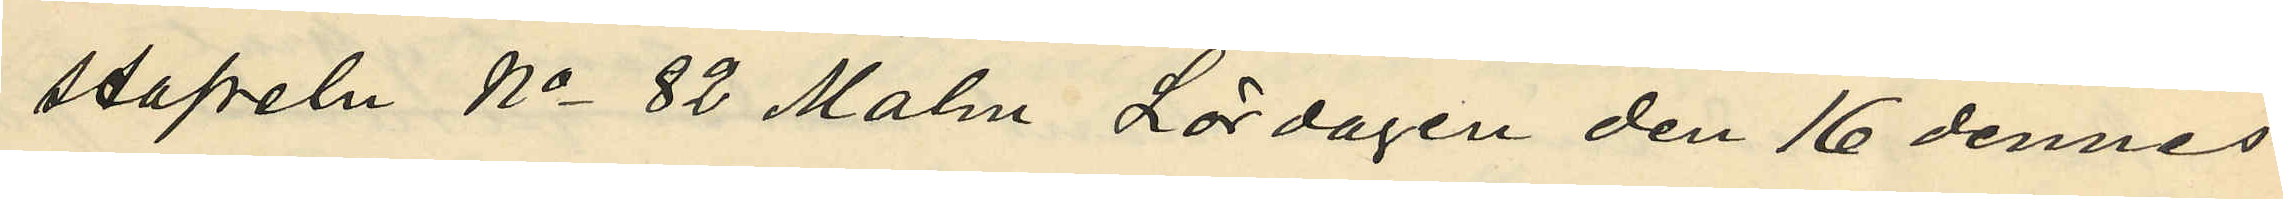stapeln No 82 Malm Lördagen den 16 dennes
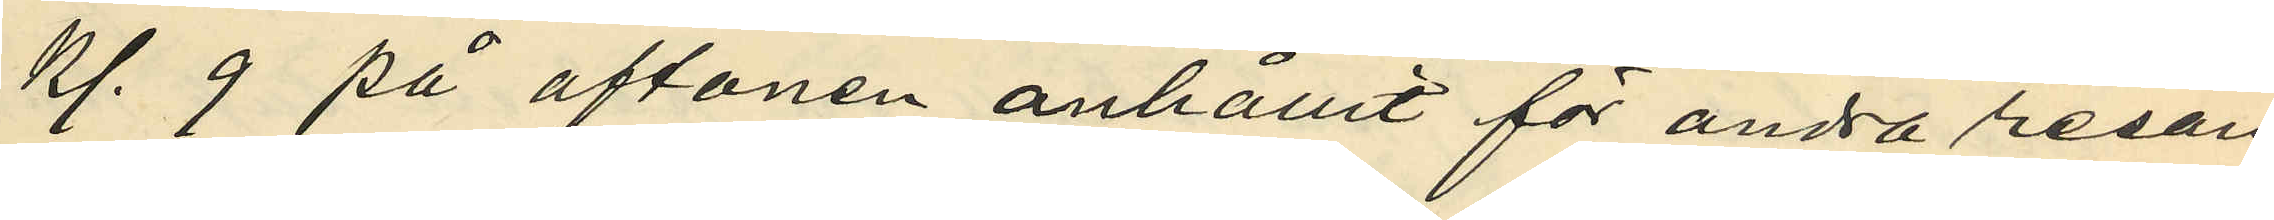kl. 9 på aftonen anhållit för andra resan
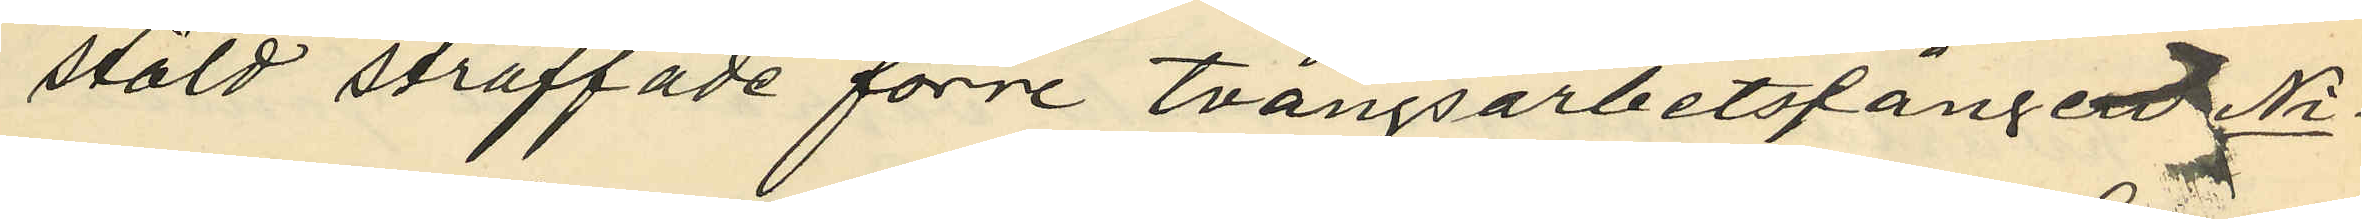stöld straffade förre tvångsarbetsfånge Ni¬
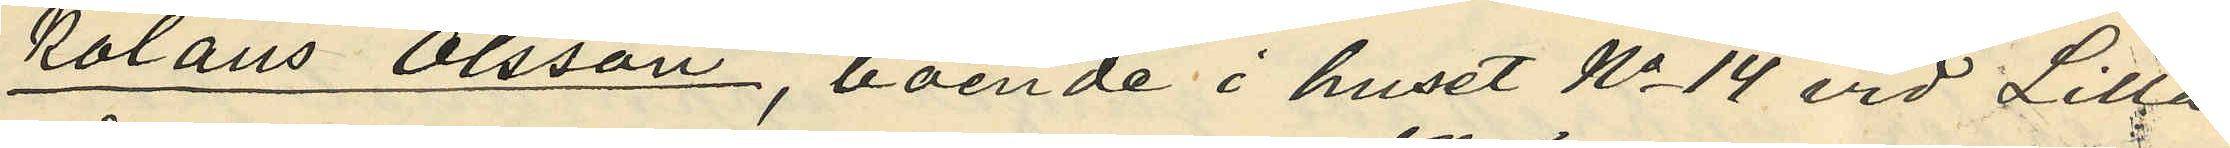kolaus Olsson, boende i huset No 14 vid Lilla
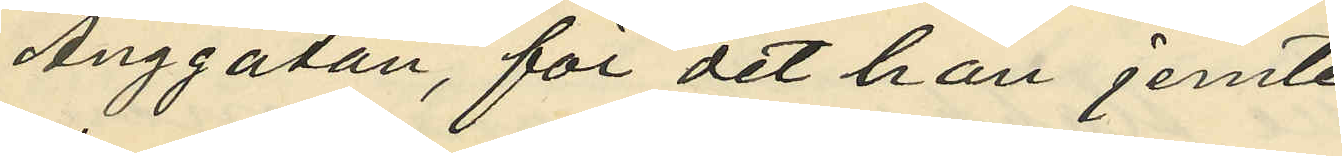Änggatan, för det han jemte
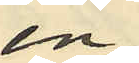en
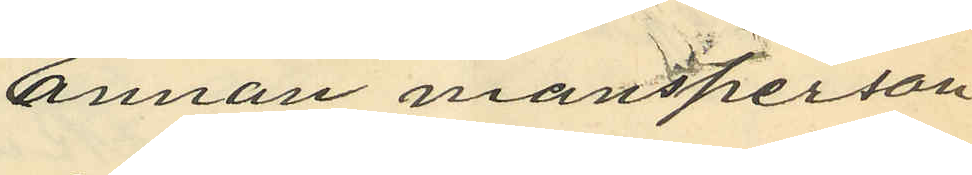annan mansperson
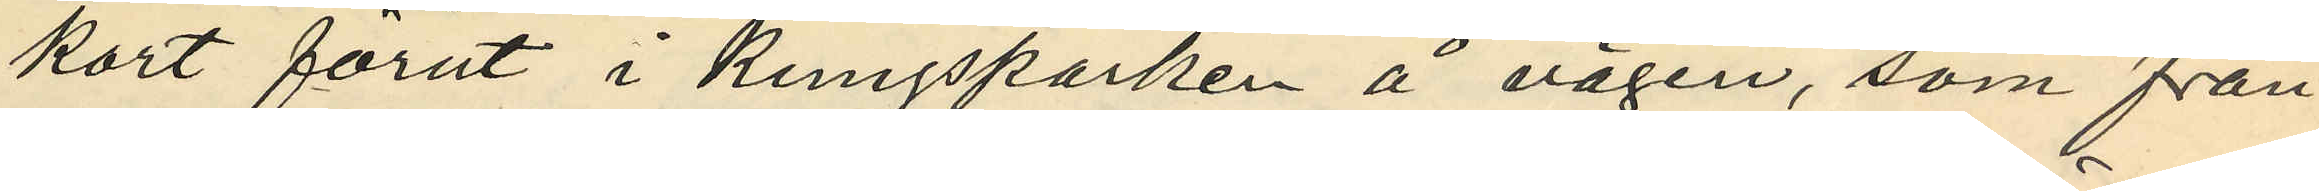kort förut i Kungsparken å vägen, som fran¬
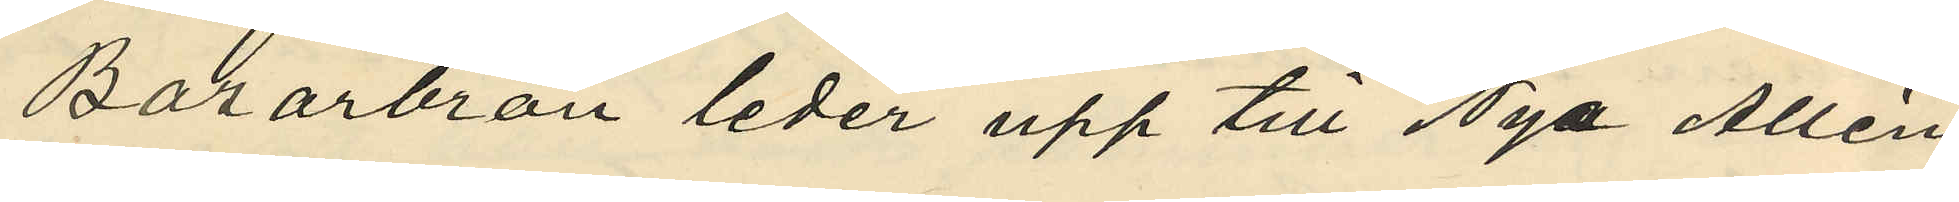Bazarbron leder upp till Nya Allén
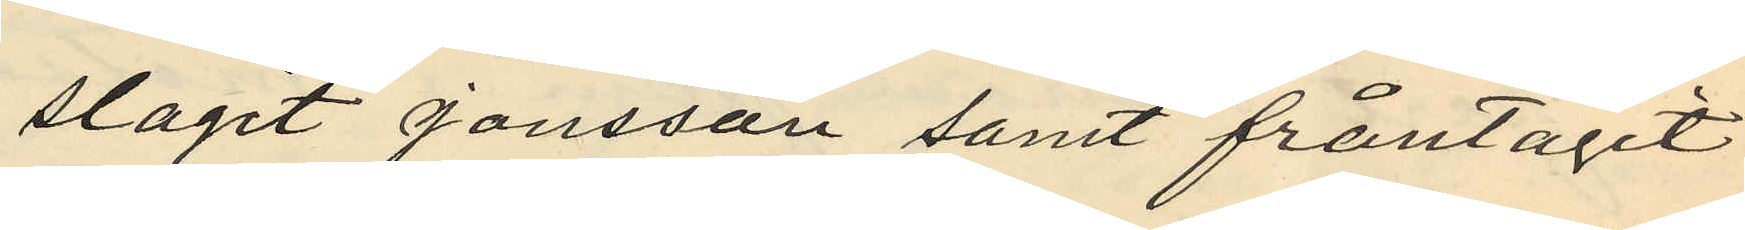slagit Jonsson samt fråntagit
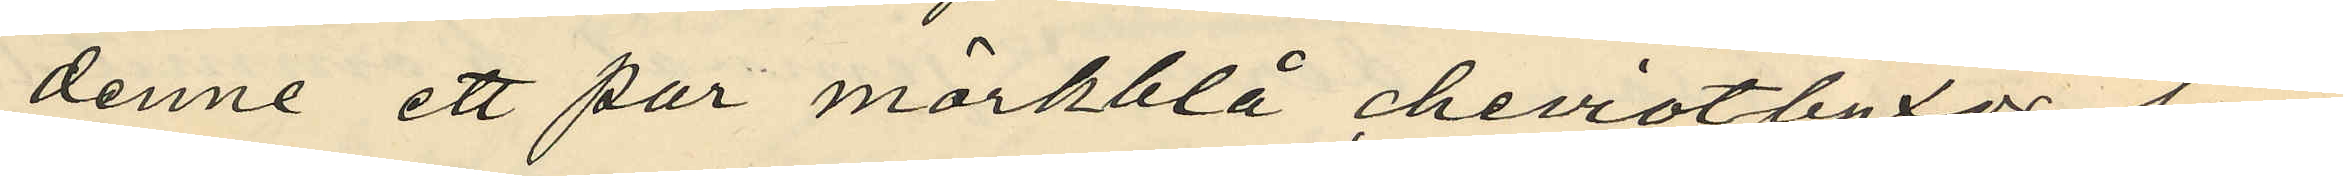denne ett par mörkblå cheviotbyxor som
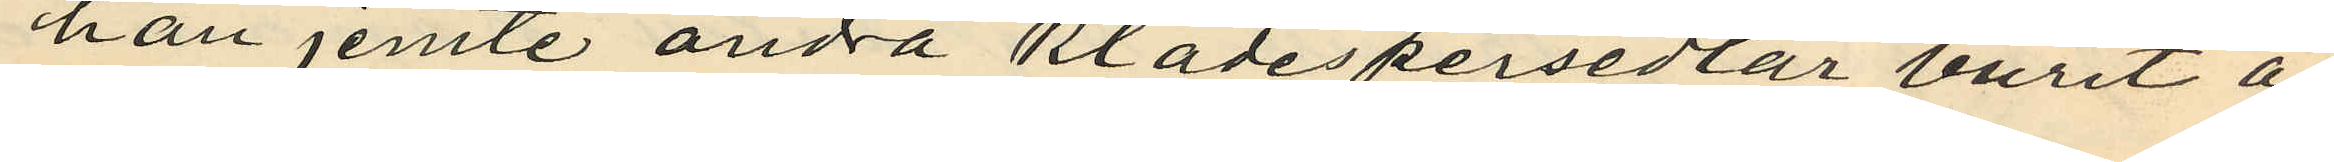han jemte andra klädespersedlar burit å
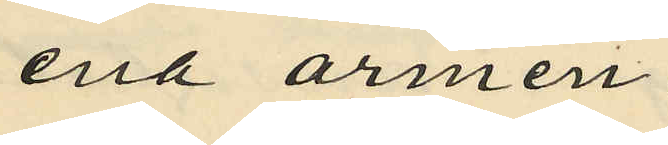ena armen.
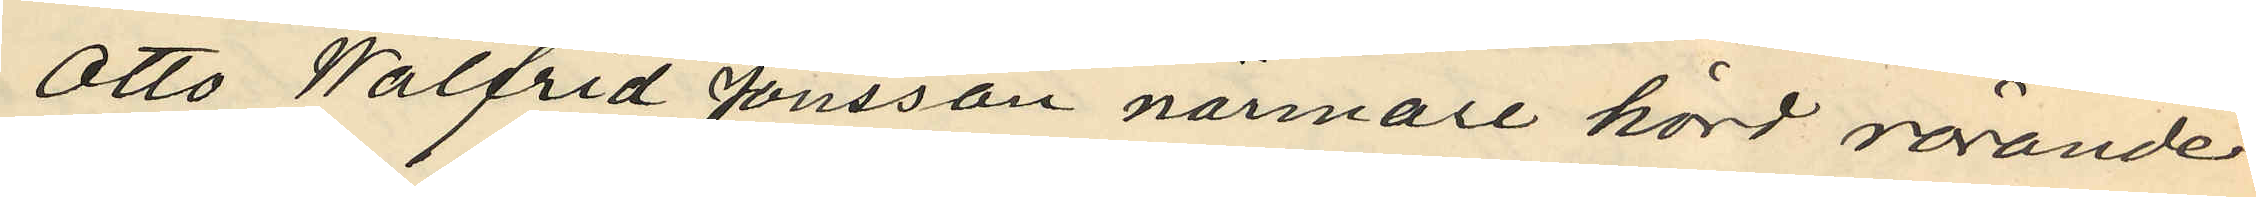Otto Walfrid Jonsson närmare hörd rörande
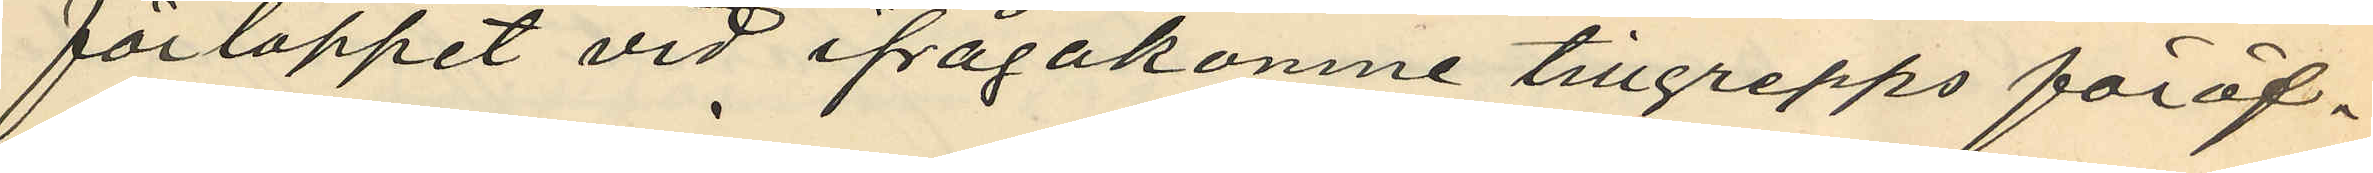förloppet vid ifrågakomne tillgrepps föröf¬
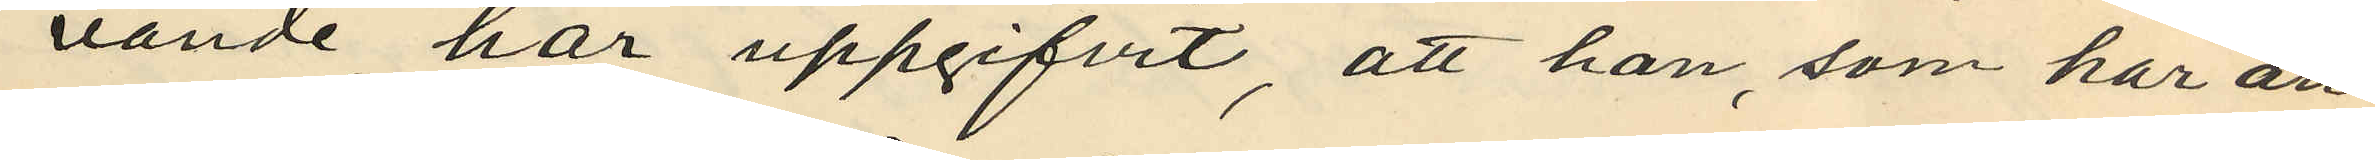vande har uppgifvit, att han, som har an¬
